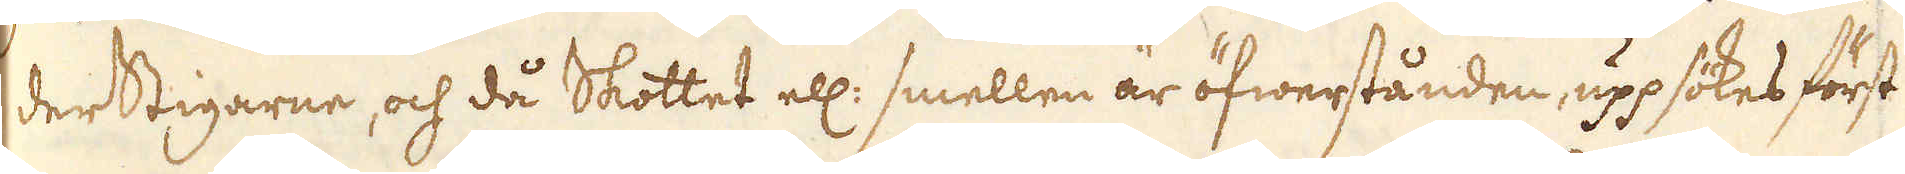derstigarne, och då Skottet ell: smellen är öfwerstånden, uppsökes först
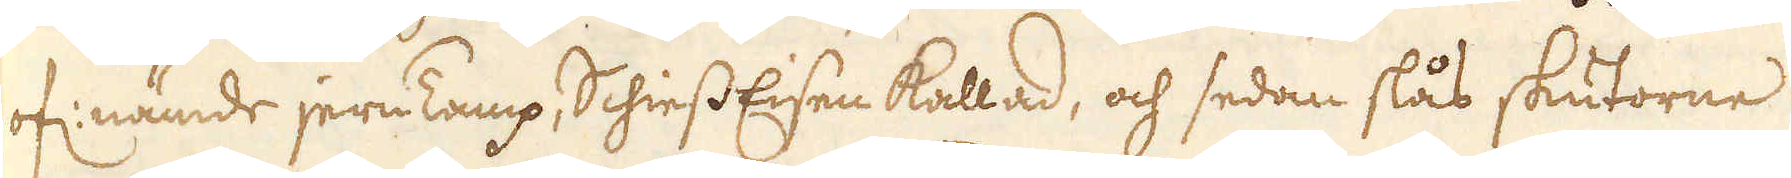of: nämde jern Tamp, Schiess Eisen kallad, och sedan slås skutorne
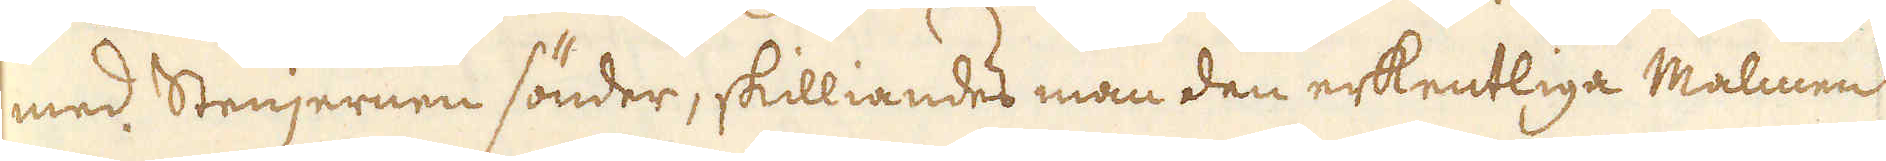med Stenjernen sönder, skilliandes man den erkentliga Malmen
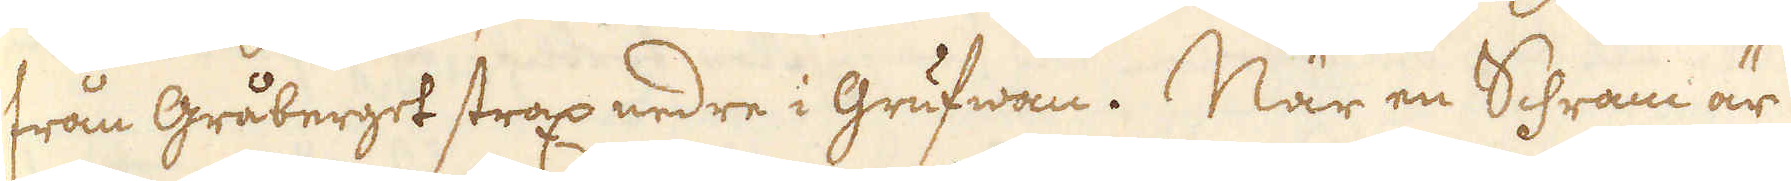från Gråberget strax nedre i Grufwan. När en Schram är
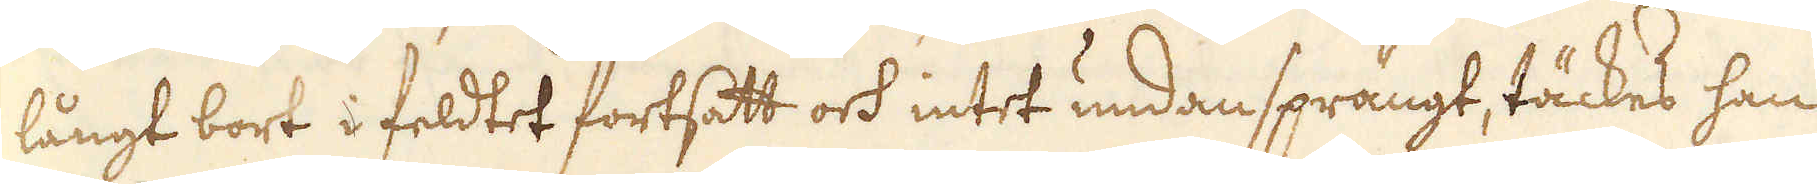långt bort i feldtet fortsatt och intet undansprängt, täckes han
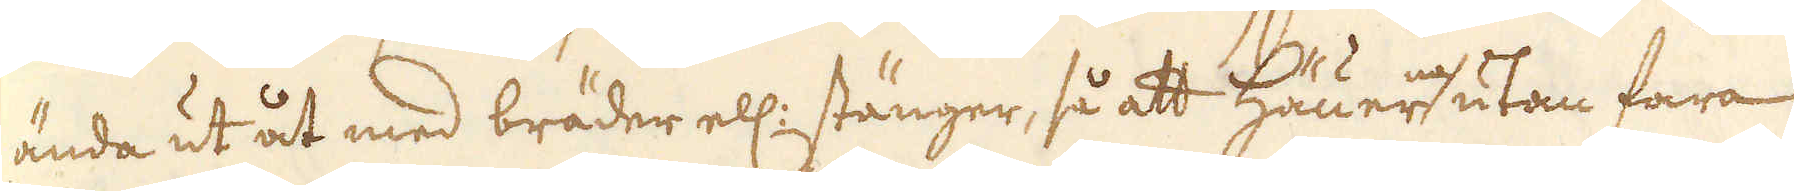ända ut åt med bräder ell: stänger, så att Häuerne utan fara
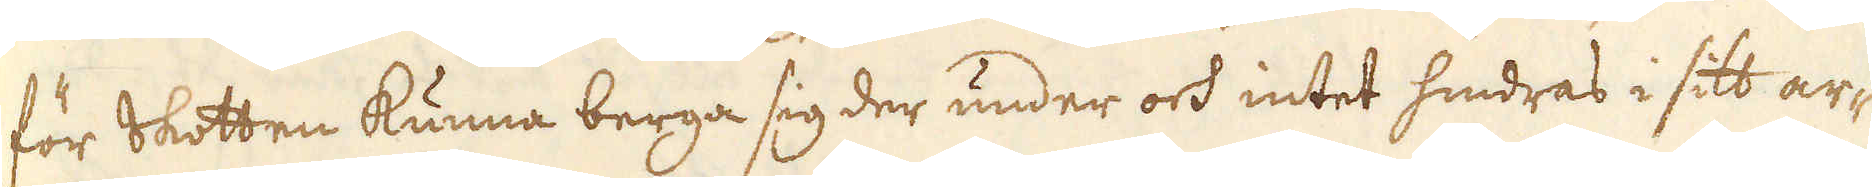för Skotten kunna berga sig der under och intet hindras i sitt ar-
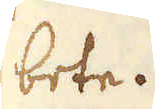bete.
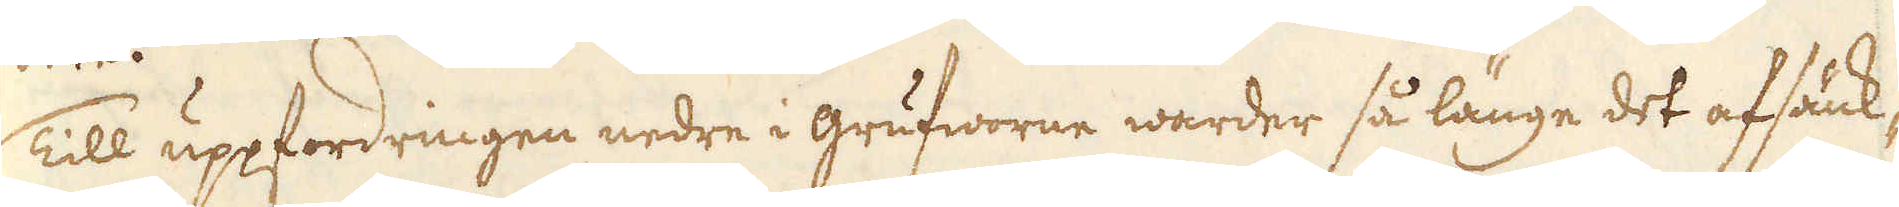Till uppfordringen nedre i grufworne warder så länge det afsänk-
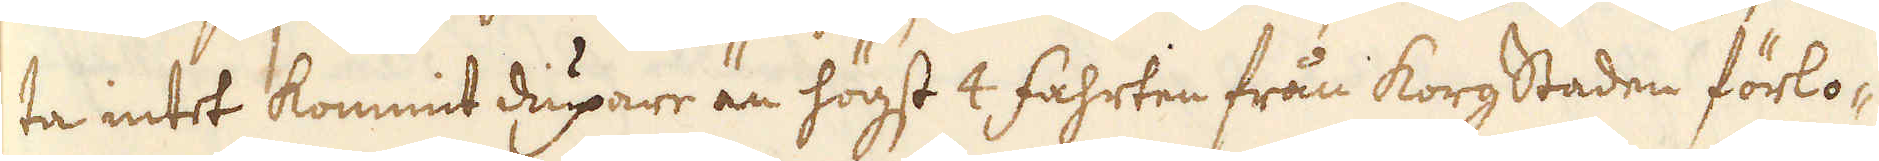ta intet kommit diupare än högst 4 fahrten från korg Staden förlo-
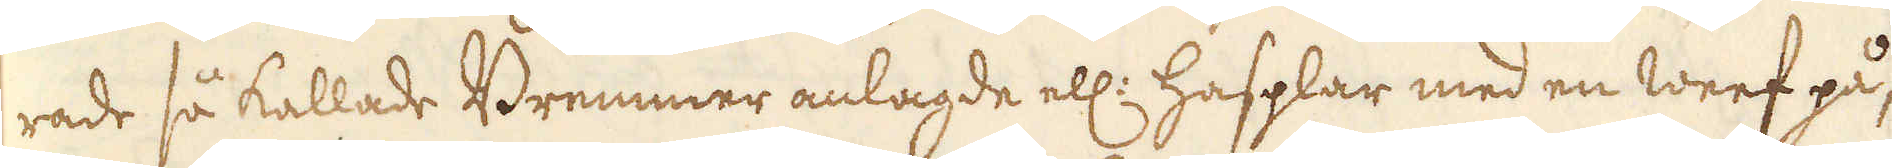rade så kallade Bremmer anlagde ell: hasplar med en weef på,
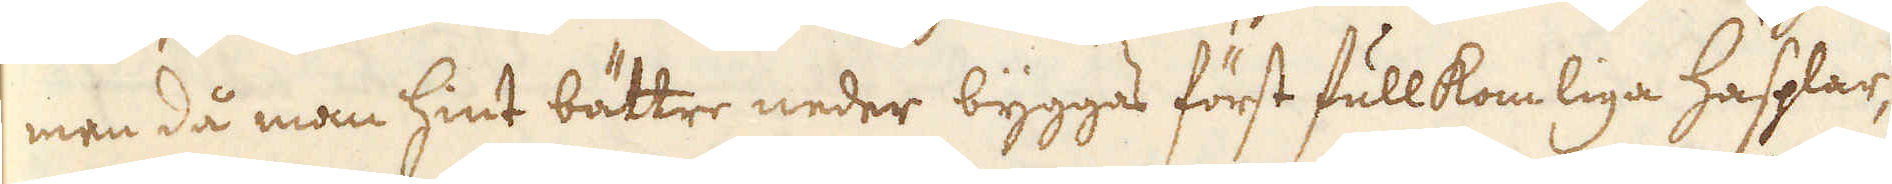men då man hint bättre neder byggas först fullkomliga Hasplar,
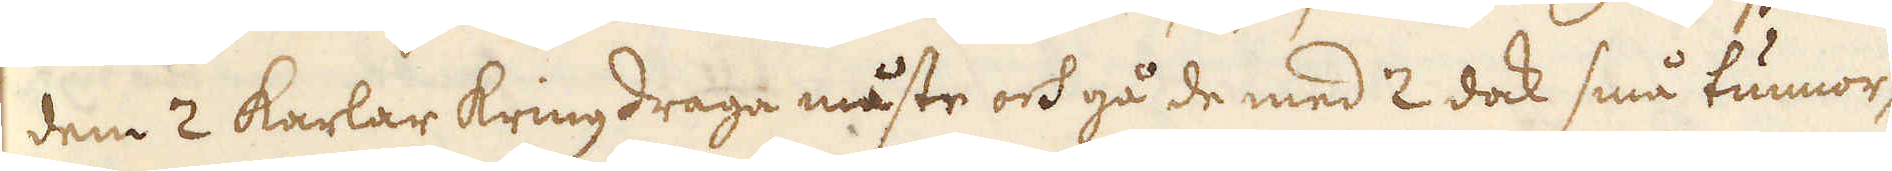dem 2 karlar kringdraga måste och gå de med 2 dock små tunnor,
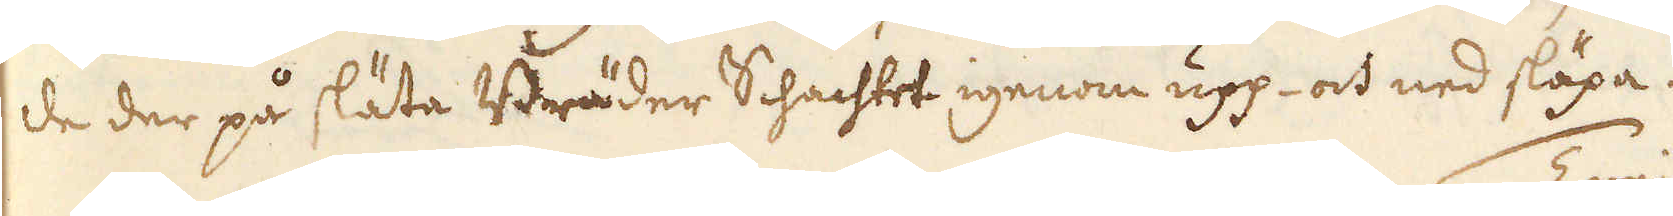de der på släta Bräder Schachtet igenom upp- och ned släpa.
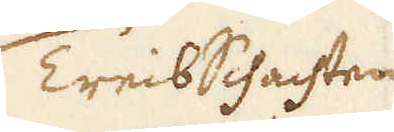TreibSchachten
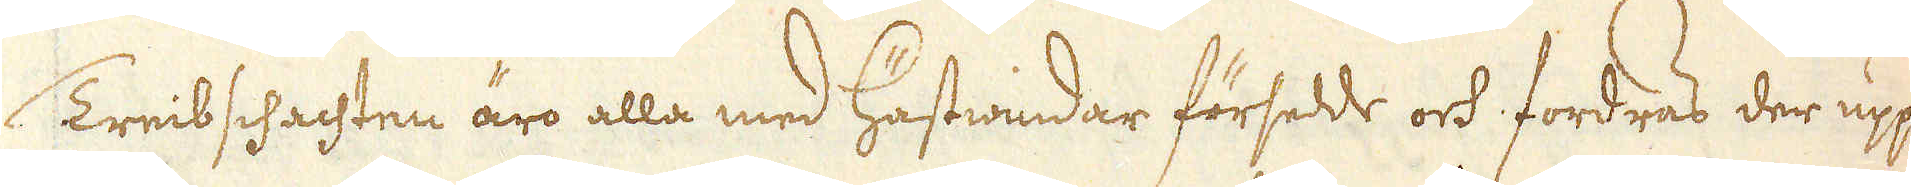Treib schachten äro alla med Hästwindar försedde och fordras der upp
